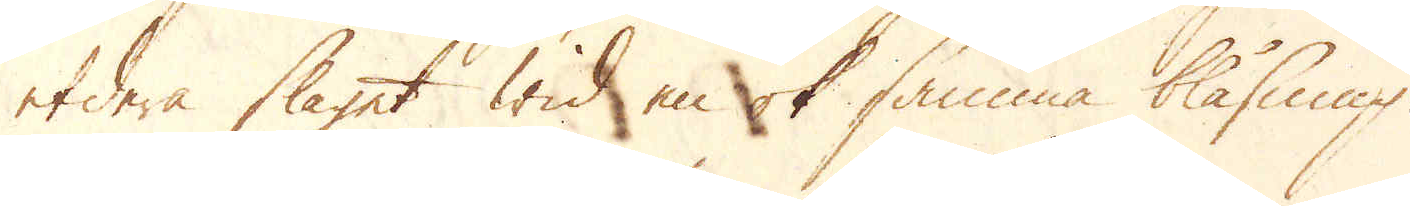etdera slaget wid en ok samma blåsning.
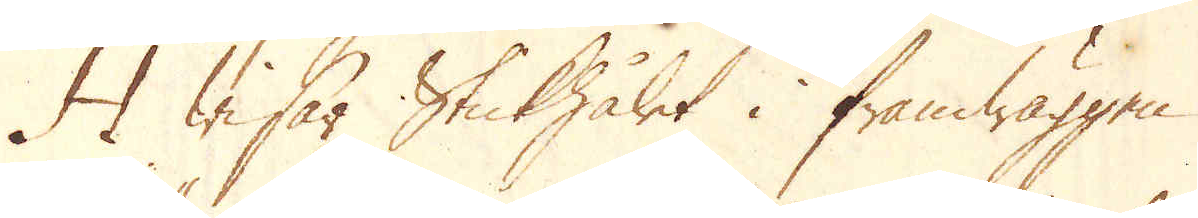H wisar Stickhålet i framwäggen.
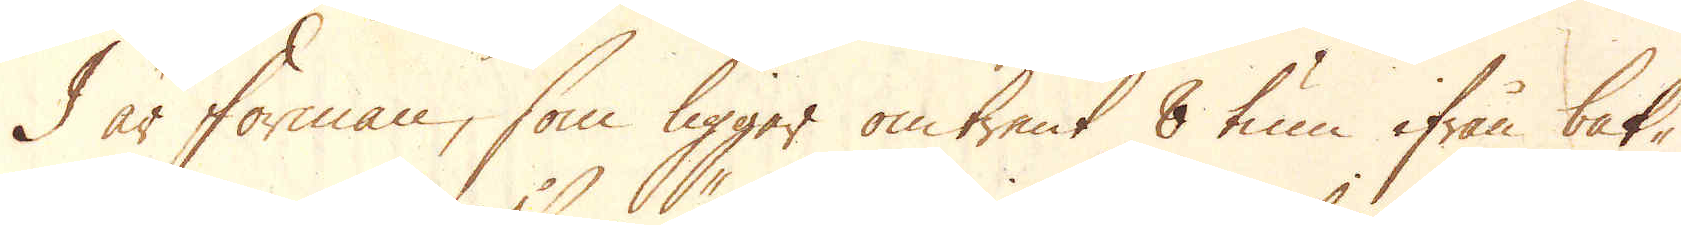J är forman, som ligger omtrent 8 tum ifrån bak-
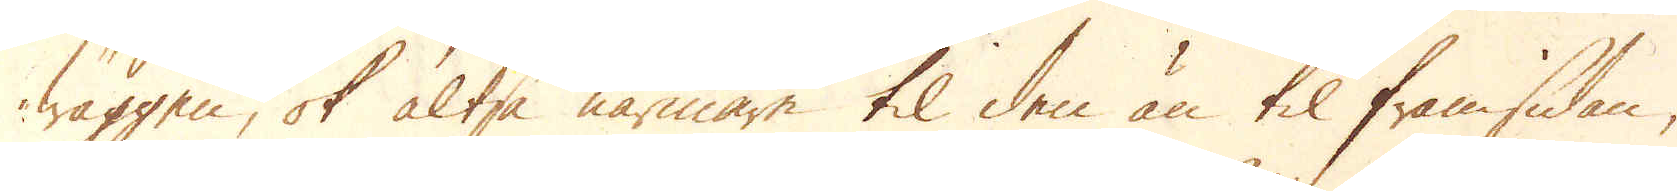wäggen, ok altså närmare til den än til framsidan,
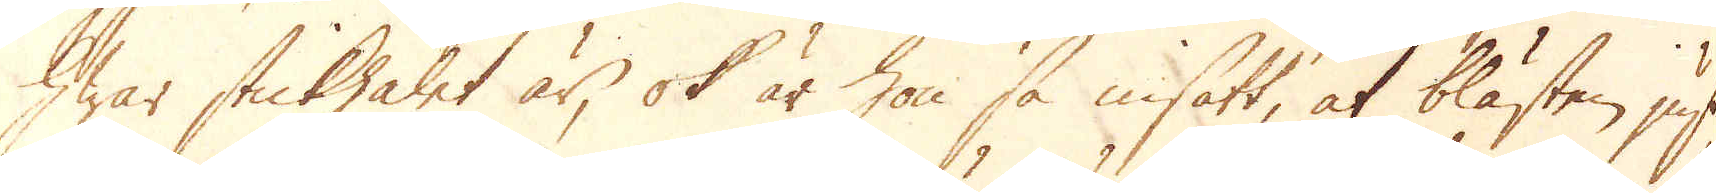hwar stickhålet är, ok är hon så insatt, at blästen just
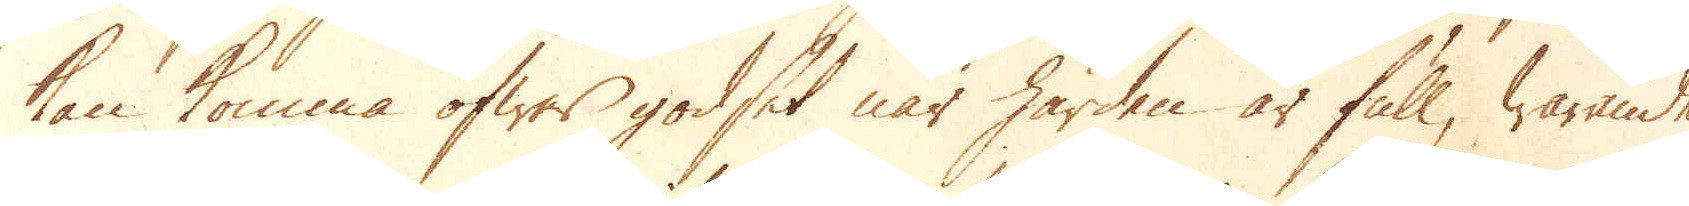kan komma öfwer godset när härden är full, warande
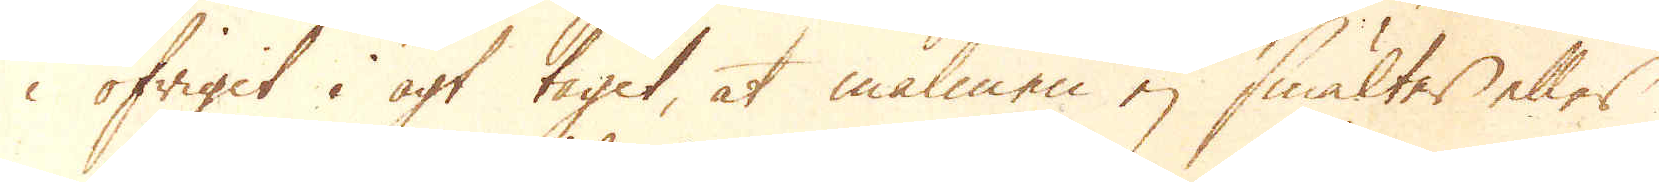i öfrigit i agt taget, at malmen ej smältes eller
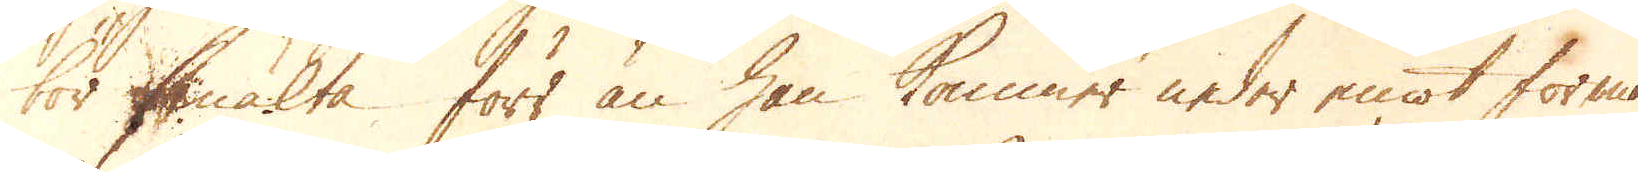bör smälta förr än han kommer neder emot forman
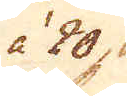à 204. 81.
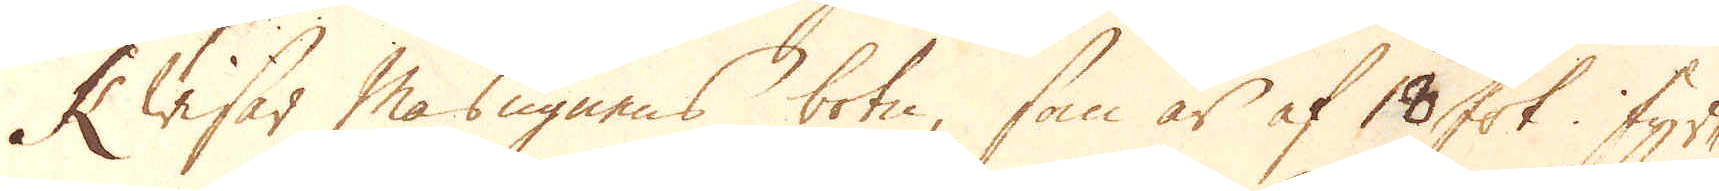K wisar Masugnens botn, som är af 18 fot i fyr-
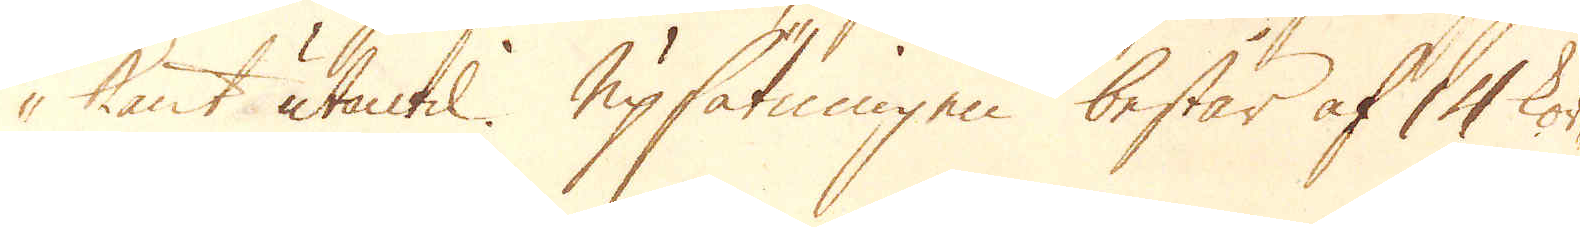kant utantil. Upsätningen består af 14 kor-
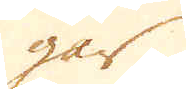gar
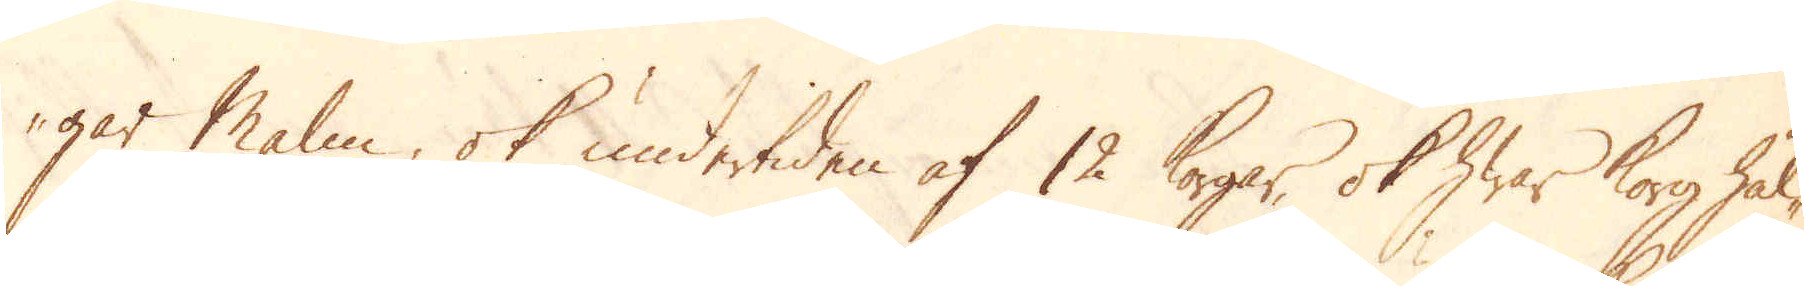gar Malm, ok undertiden af 12 korgar, ok hwar korg hål-
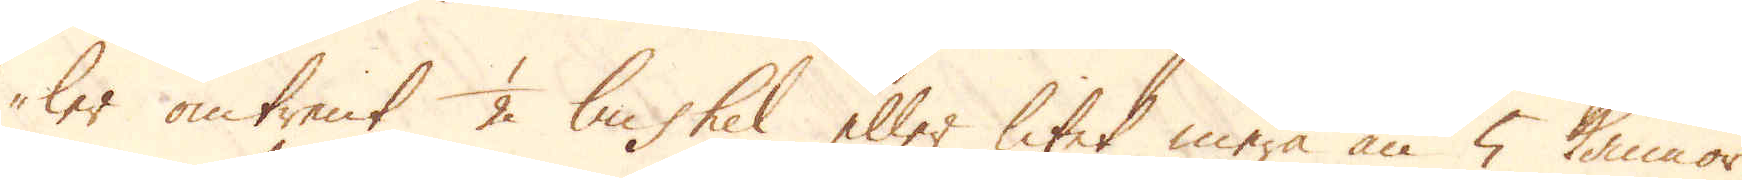ler omtrent 1/2 bushel eller litet mera än 5 kannor.
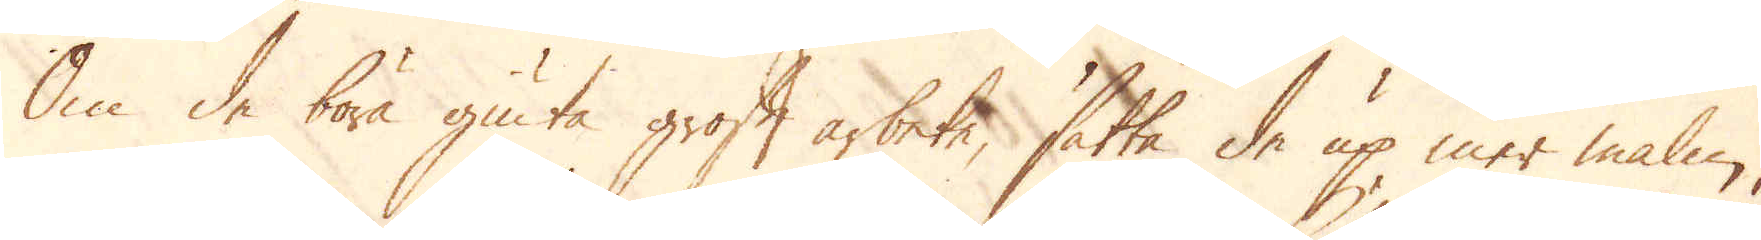Om de böra giuta groft arbete, sätta de up mer malm,
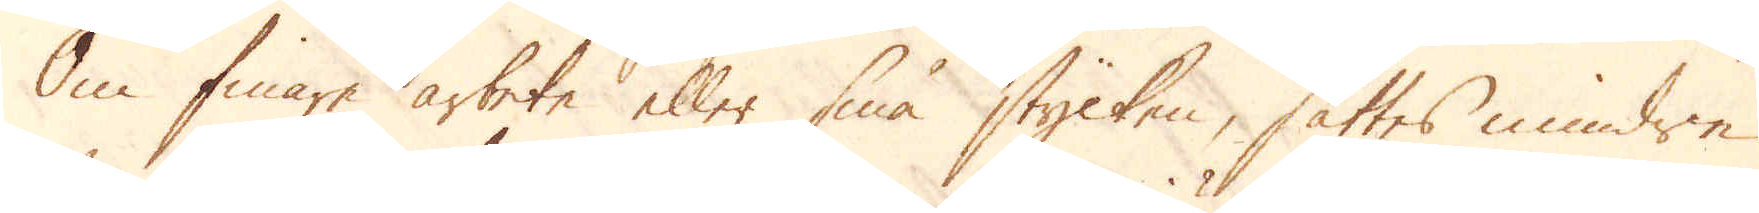Om finare arbete eller små stycken, sättes mindre
